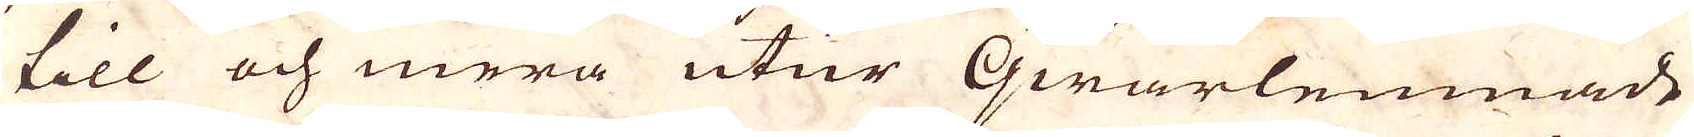till och mera utur qwarlemnade
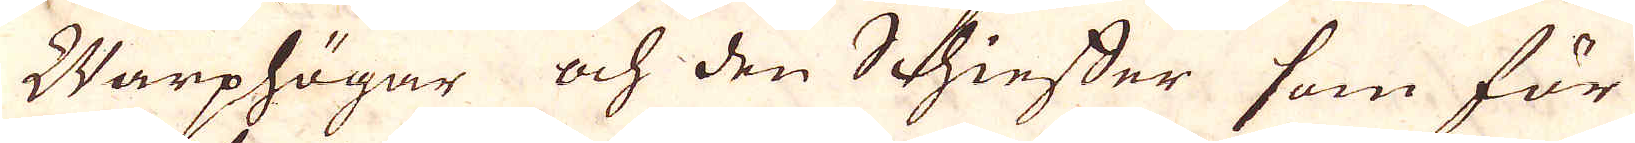Warphögar och den Schieffer som för
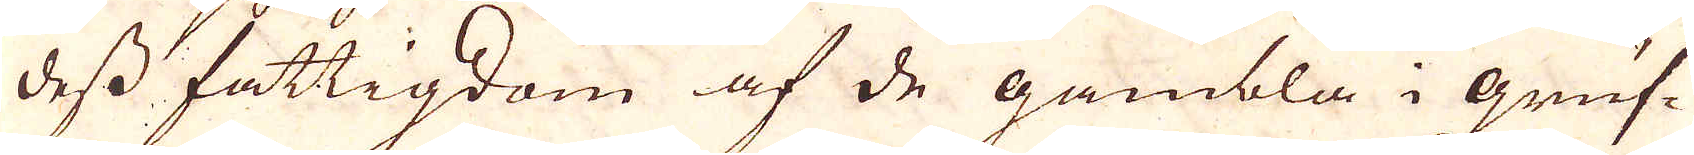dess fattigdom af de gambla i gruf-
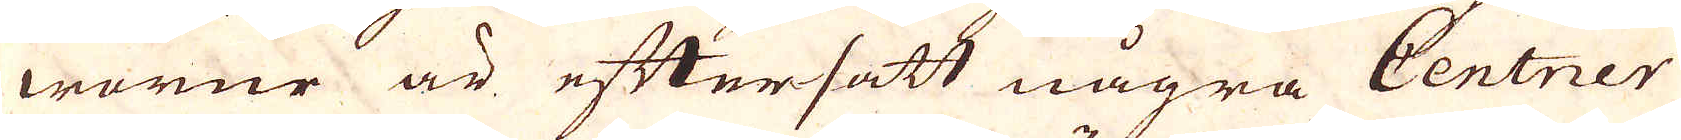worne är eftersatt några Centner
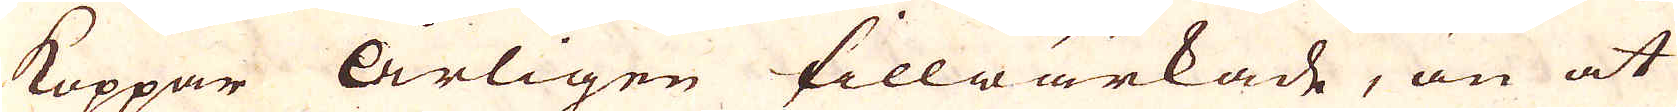koppar årligen tillwärkade, än at
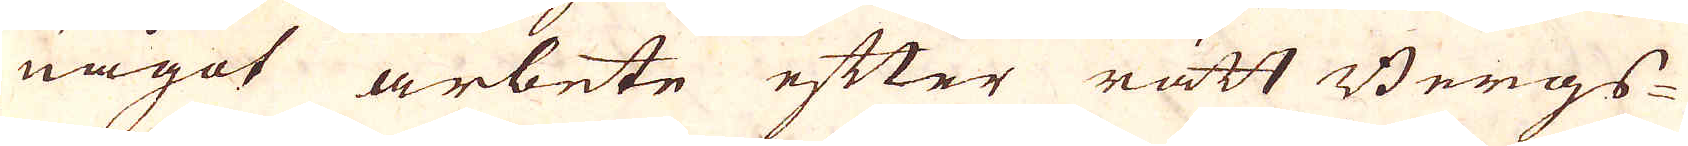något arbete efter rätt Bergs-
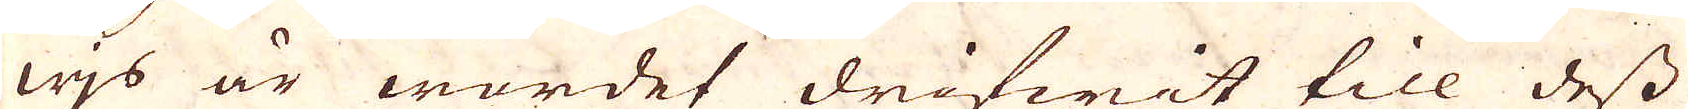wjs är wordet drifwit till dess
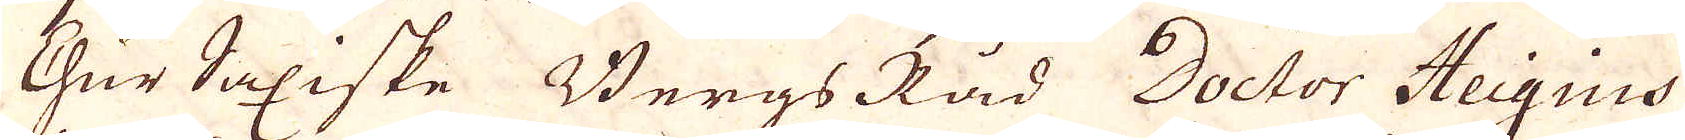ChurSaxiske BergsRåd Doctor Heigius
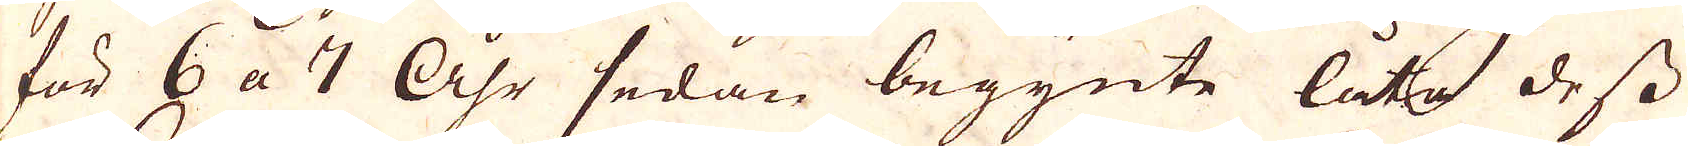för 6 a 7 Åhr sedan begynte låta dess
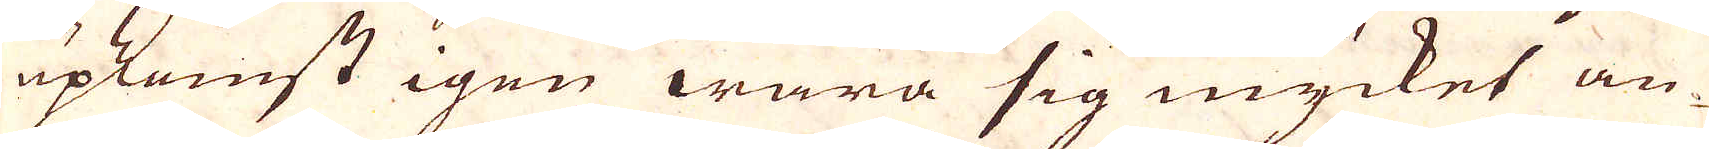upkomst igen wara sig mycket an-
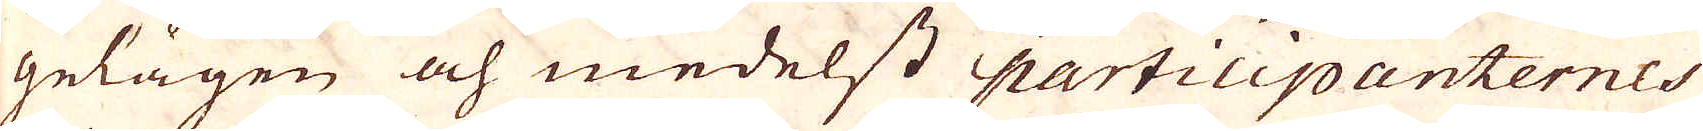gelägen och medelst participanternes
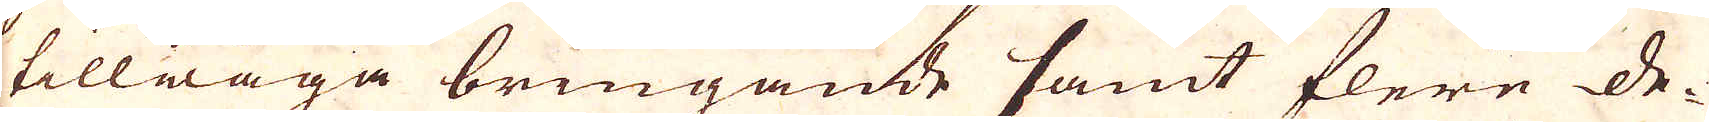tillwäga bringande samt flere de-
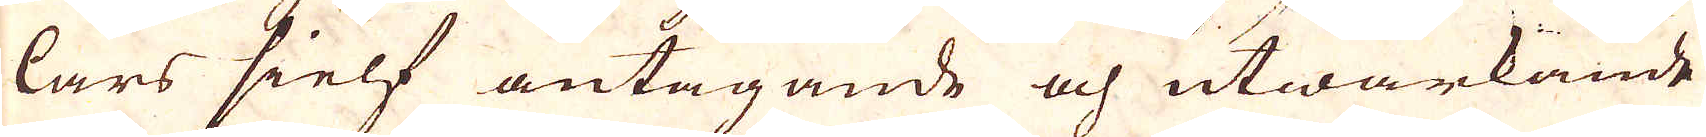lars sielf antagande och utwärkande
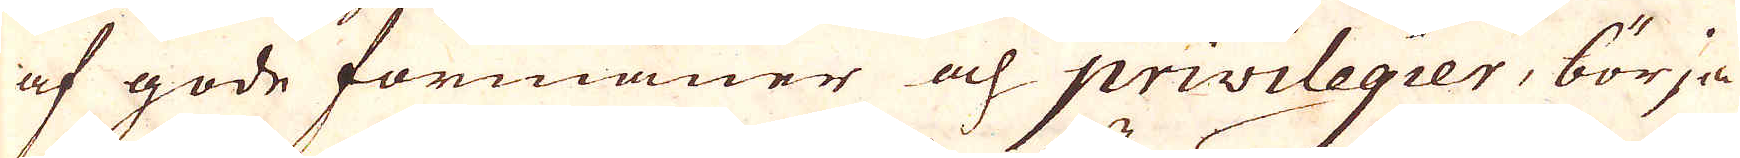af gode förmåner och privilegier, börja
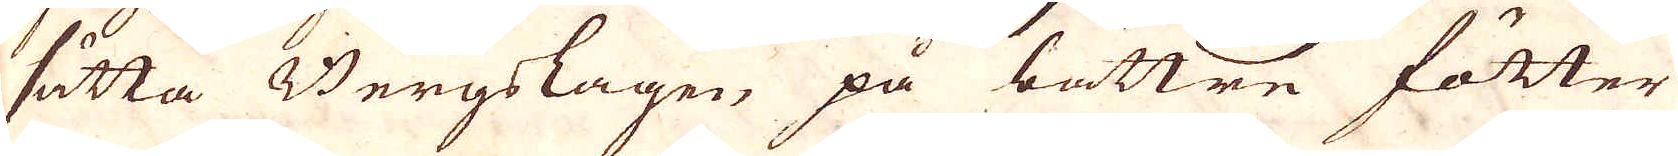sätta Bergslagen på bättre fötter
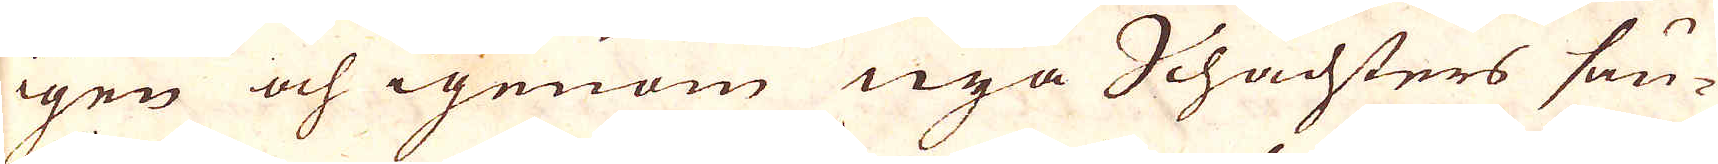igen och igenom nya Schachters sän-
